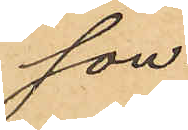son.
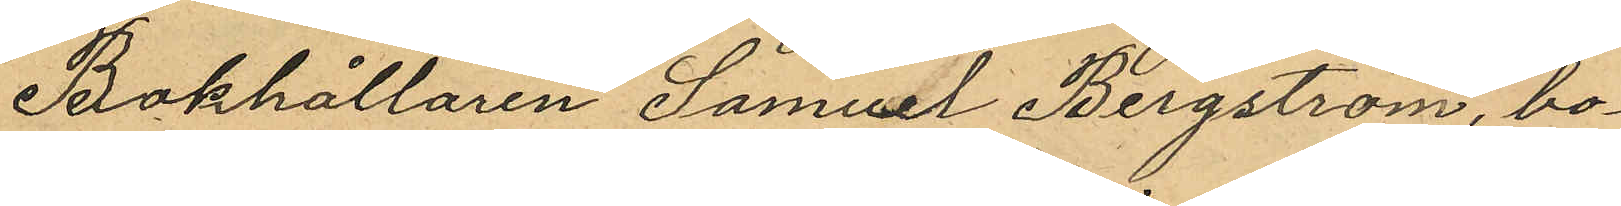Bokhållaren Samuel Bergström, bo¬
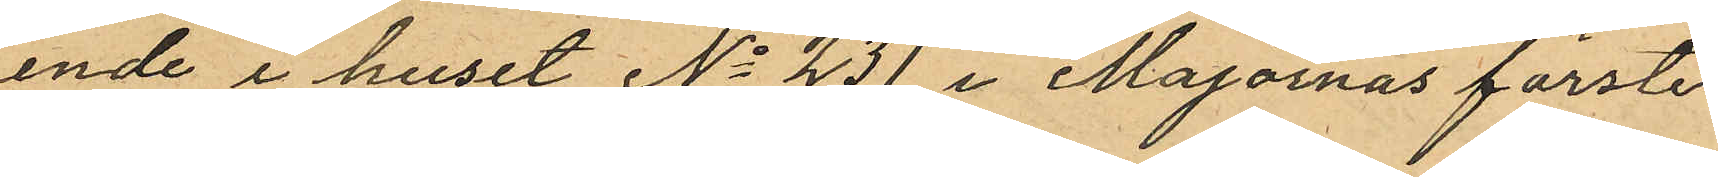ende i huset No 231 i Majornas förste
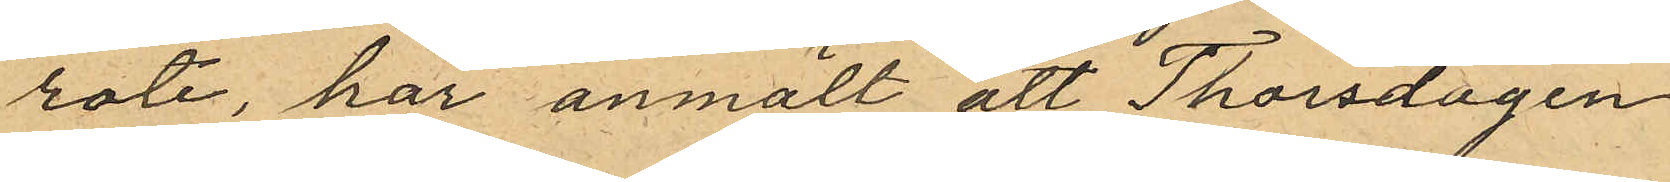rote, har anmält att Thorsdagen
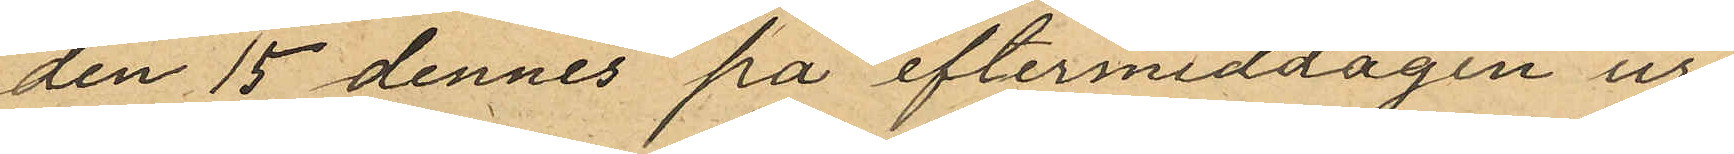den 15 dennes på eftermiddagen ur
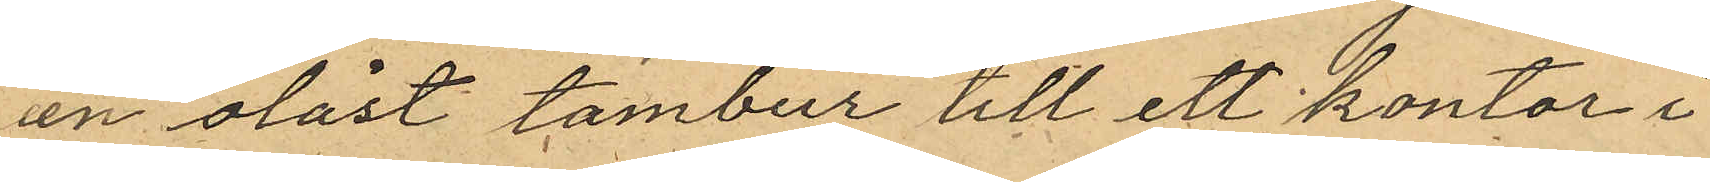en olåst tambur till ett kontor i
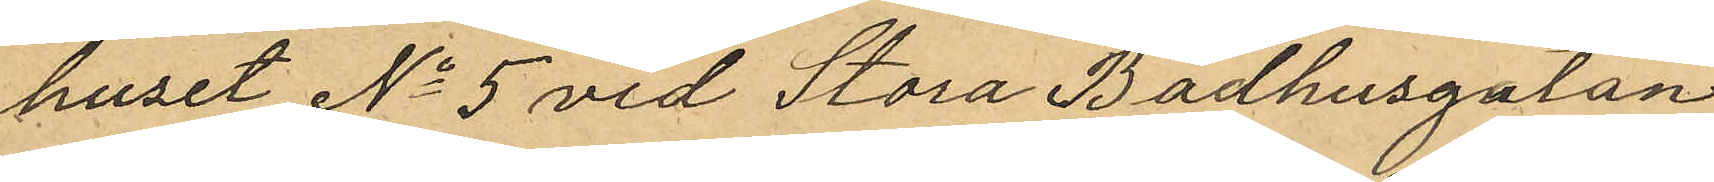huset No 5 vid Stora Badhusgatan
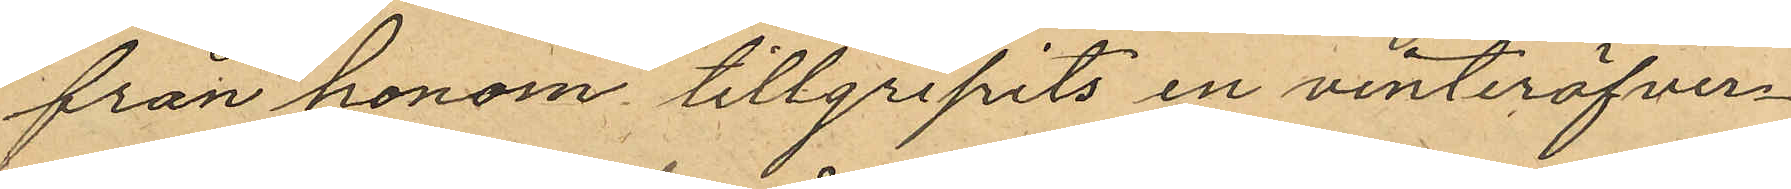från honom tillgripits en vinteröfver¬
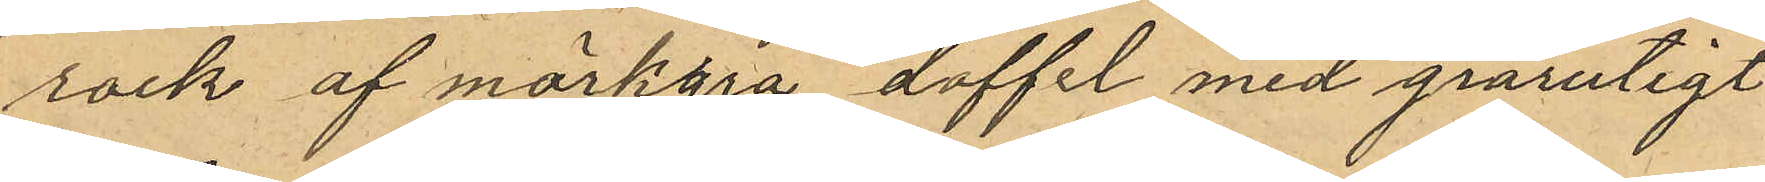rock af mörkgrå doffel med grårutigt
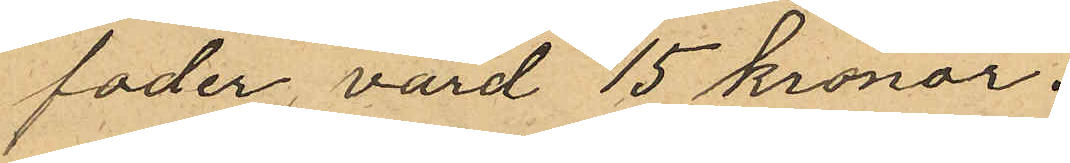foder, värd 15 kronor.
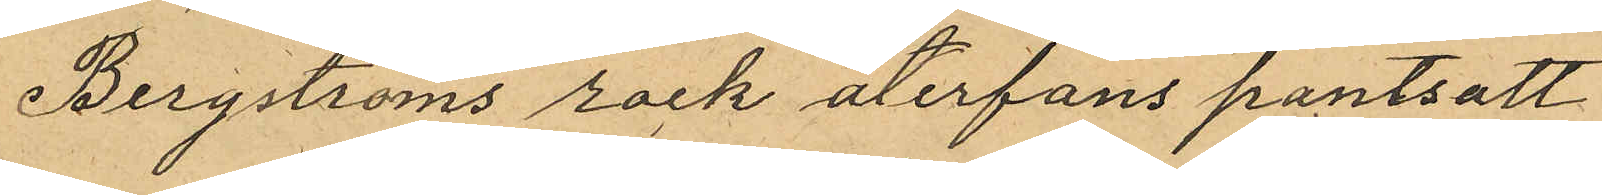Bergströms rock återfans pantsatt
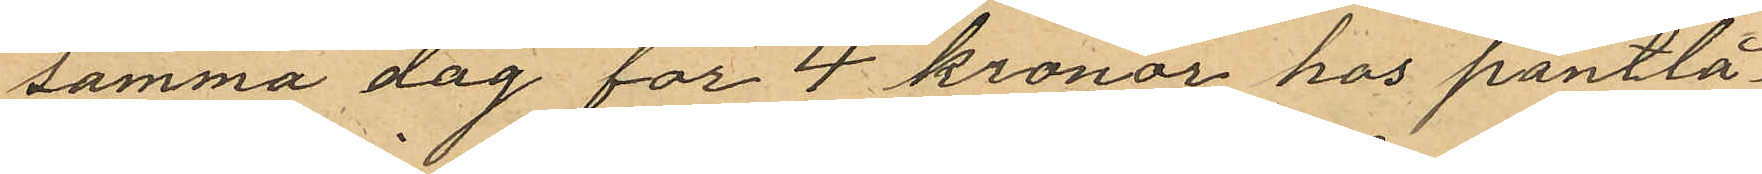samma dag för 4 kronor hos pantlå¬
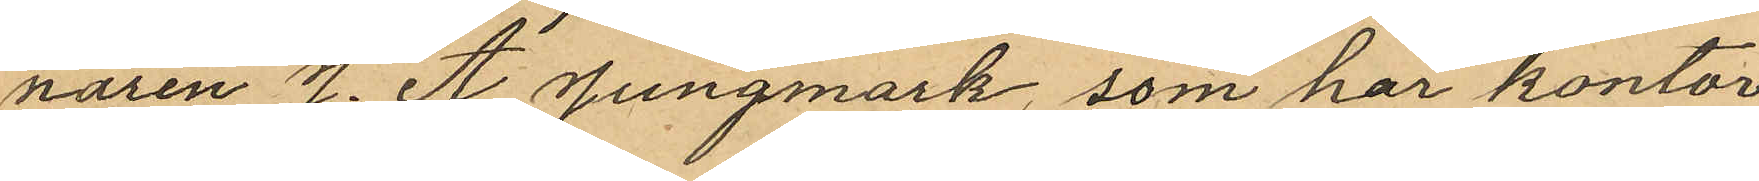naren J. A. Jungmark, som har kontor
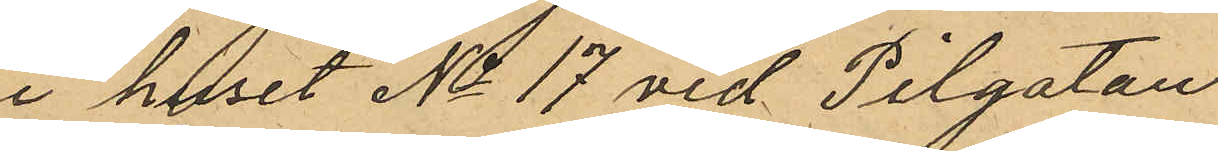i huset No 17 vid Pilgatan
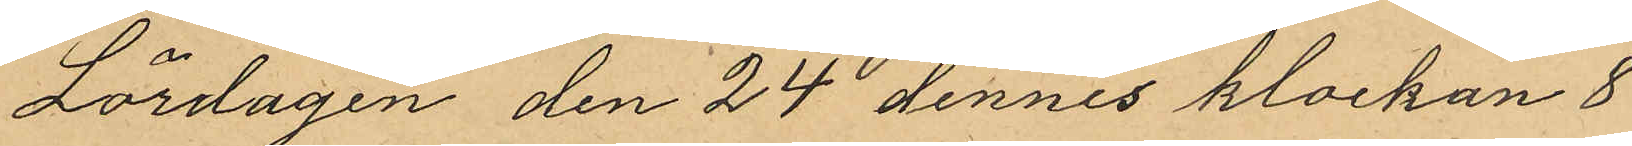Lördagen den 24 dennes klockan 8
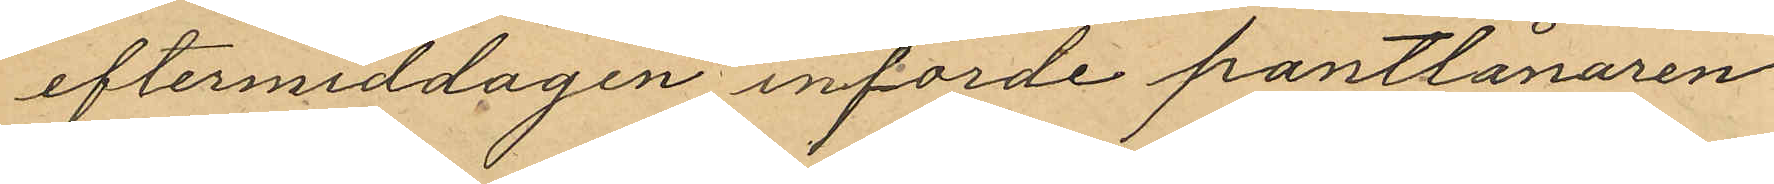eftermiddagen införde pantlånaren
